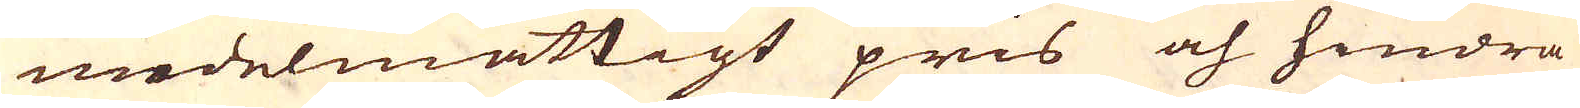medelmåttigt pris och hindra
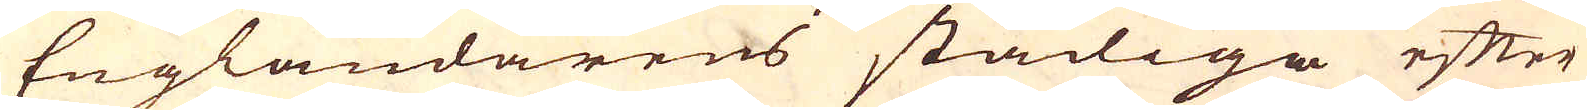Engländarens stadiga efter
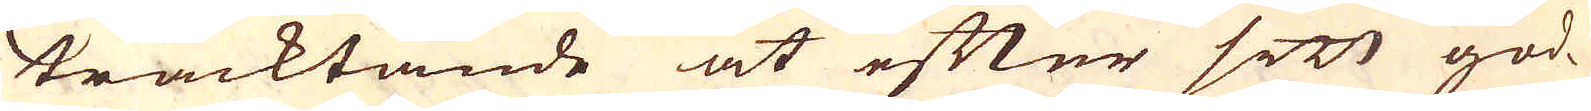tracktande at efter sitt god-
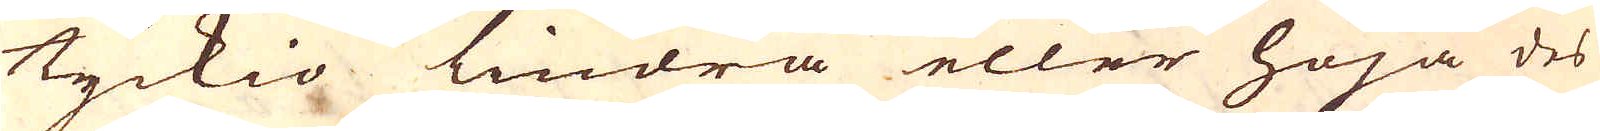tyckio lindra eller höja des
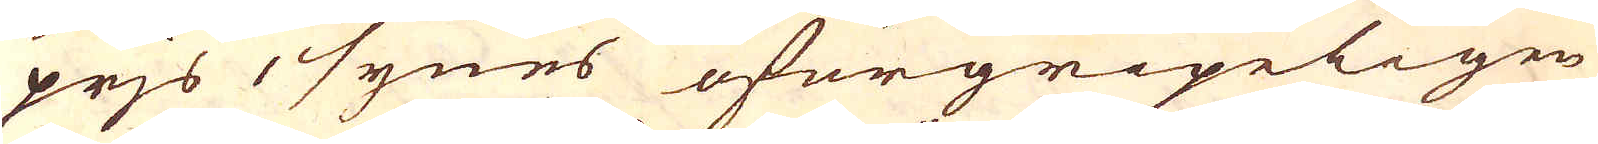prjs, synes oförgripeligen
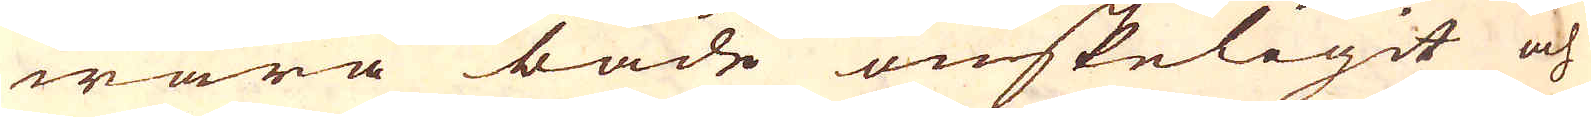wara både önskeligit och
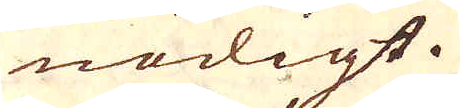nödigt.
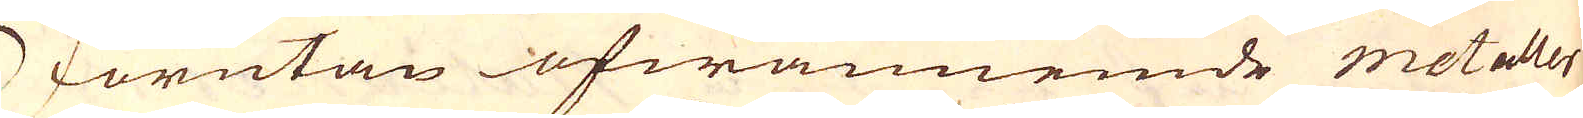Förutan ofwannemde metaller
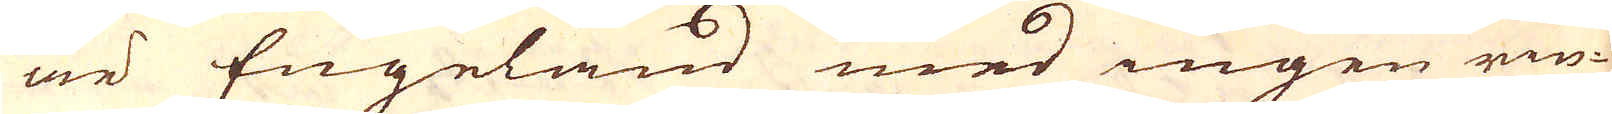är Engeland med ingen rin-
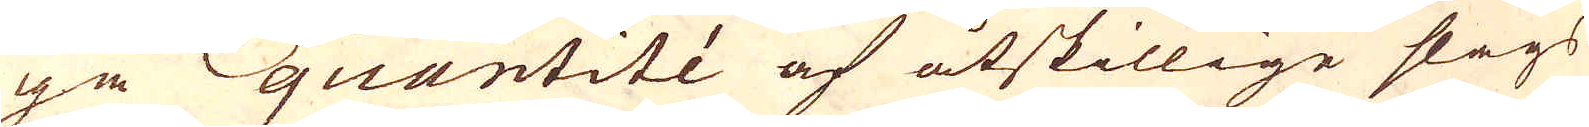ga quantité af åtskillige slags
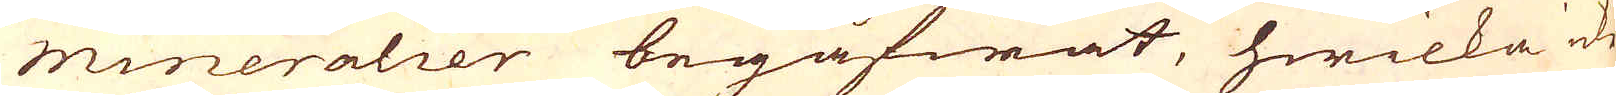mineralier begåfwat, hwilka de
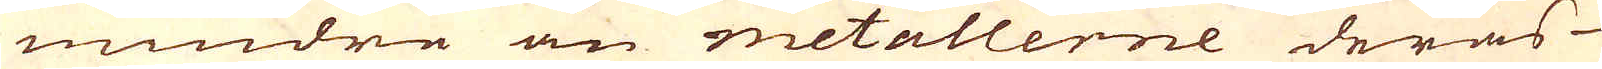mindra än metallerne deras
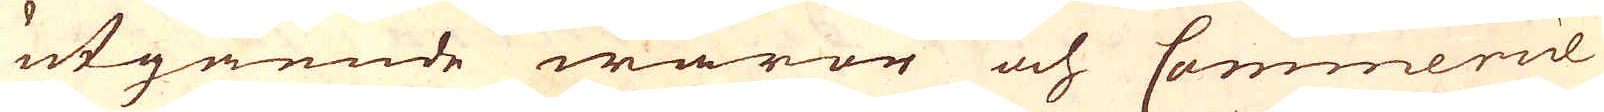utgående waror och Commmercie
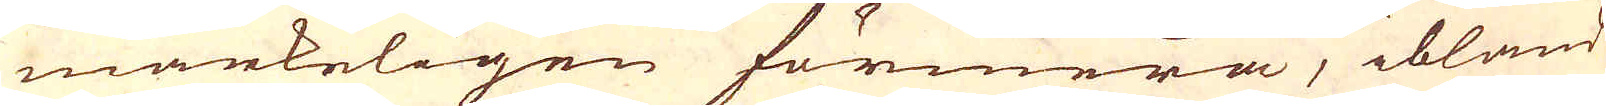märkeligen förmera, ibland
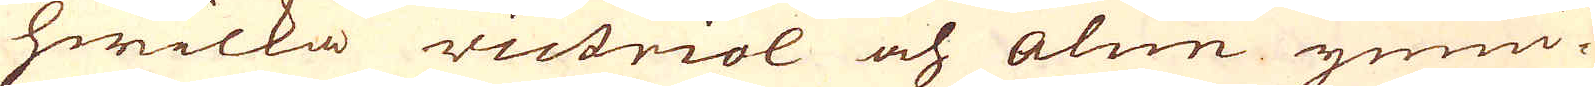hwilka victriol och alun ymni-
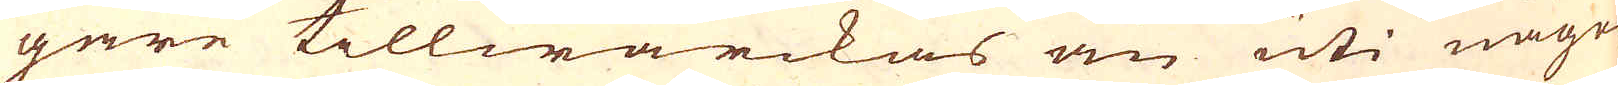gere tillwärckas än uti någre
